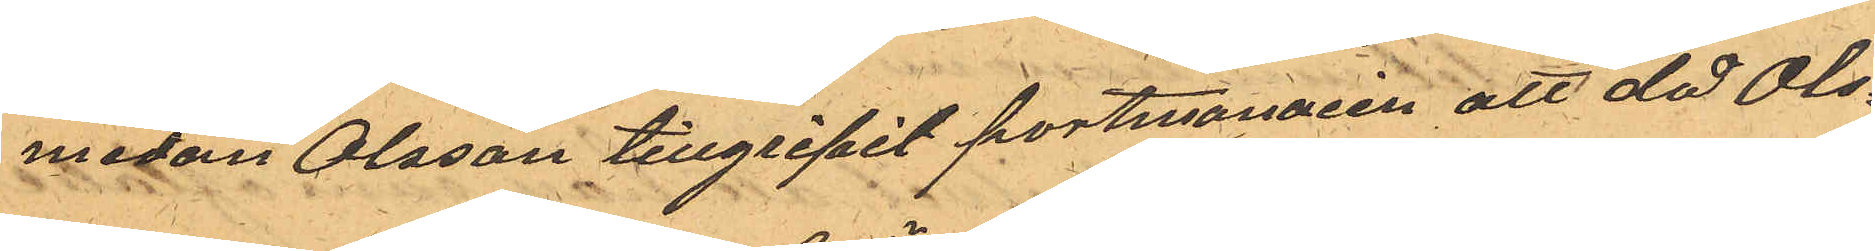medan Olsson tillgripit portmonaien att då Ols¬
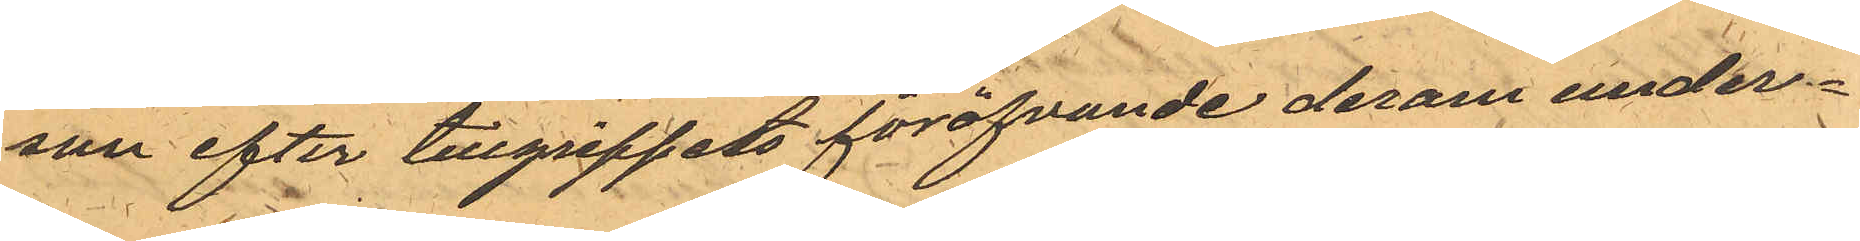son efter tillgreppets föröfvande derom under¬
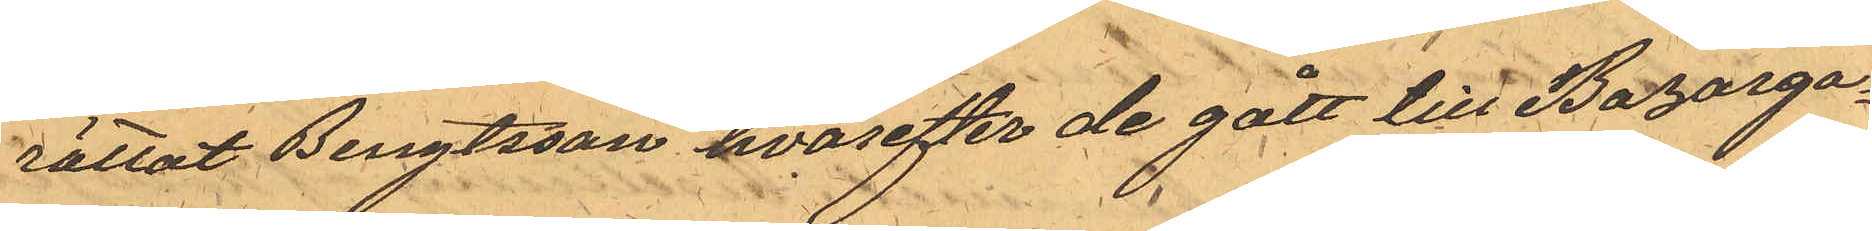rättat Bengtsson, hvarefter de gått till Bazarga¬
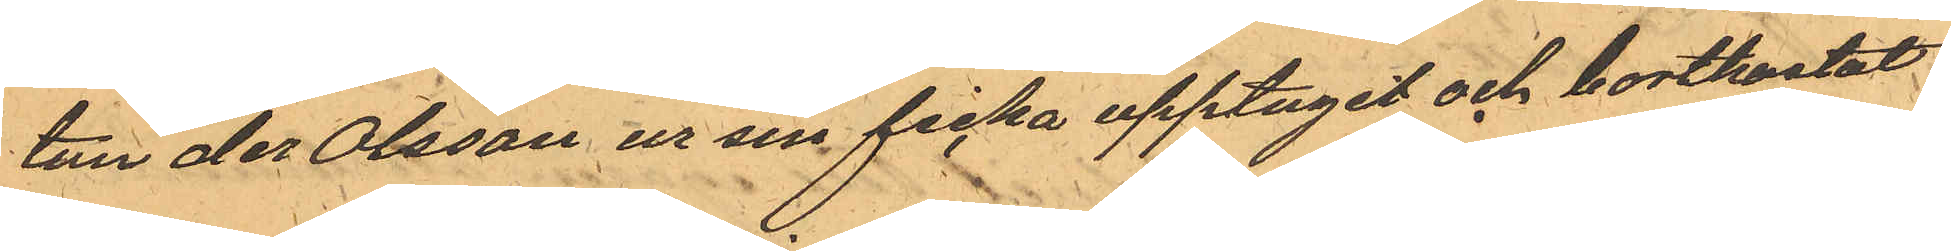tan der Olsson ur sin ficka upptagit och bortkastat
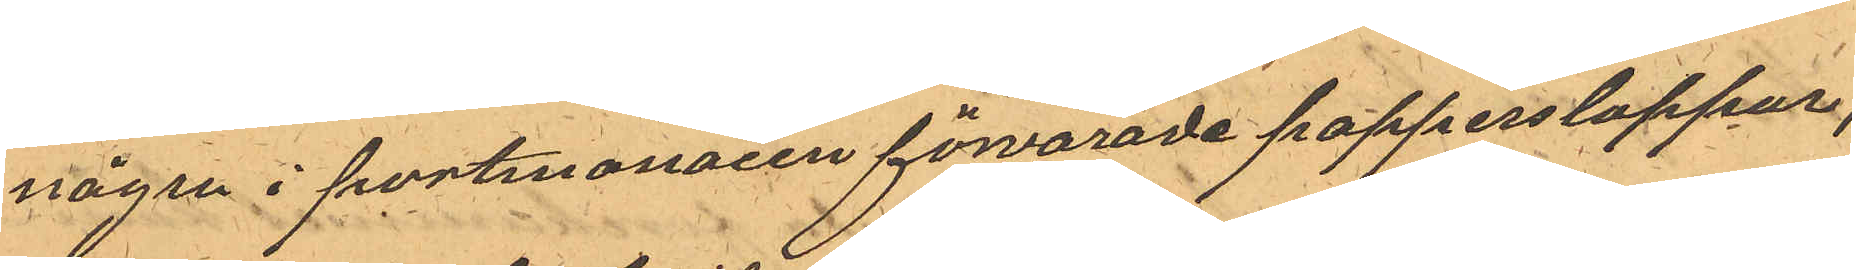några i portmonaien förvarade papperslappar,
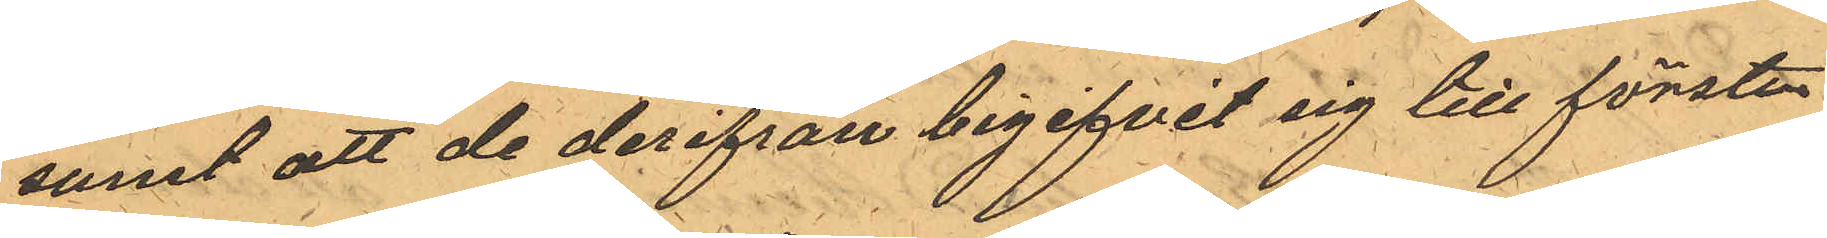samt att de derifrån begifvit sig till första
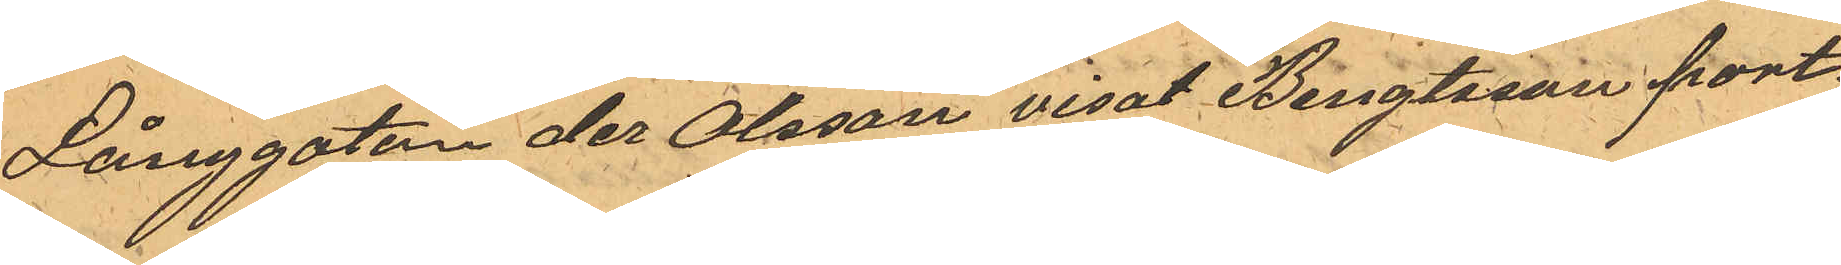Långgatan der Olsson visat Bengtsson port¬
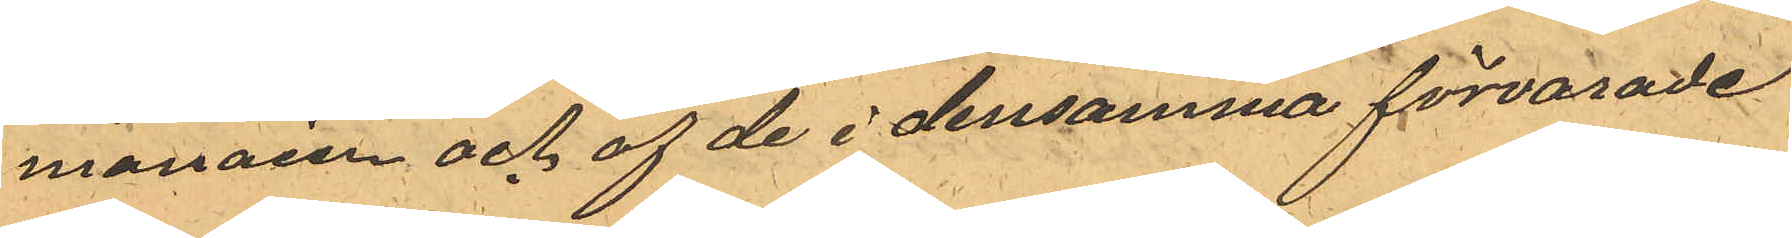monaien och af de i densamma förvarade
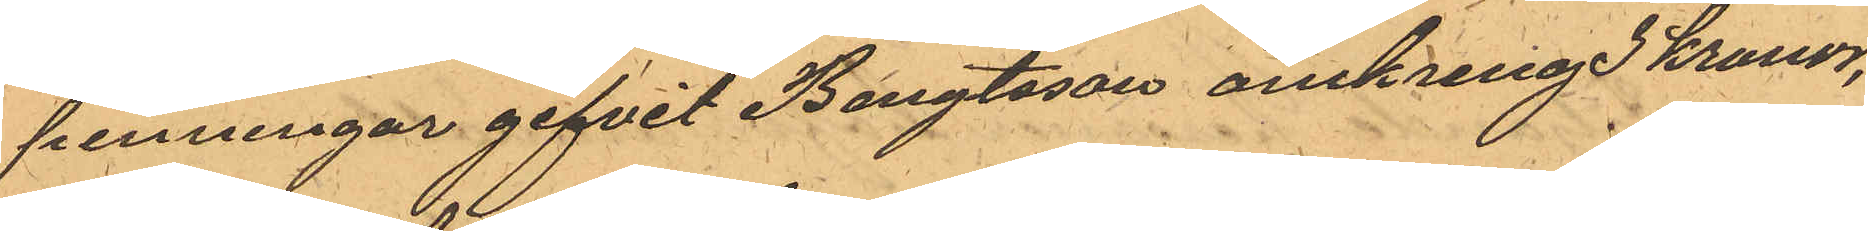penningar gifvit Bengtsson omkring 3 kronor,
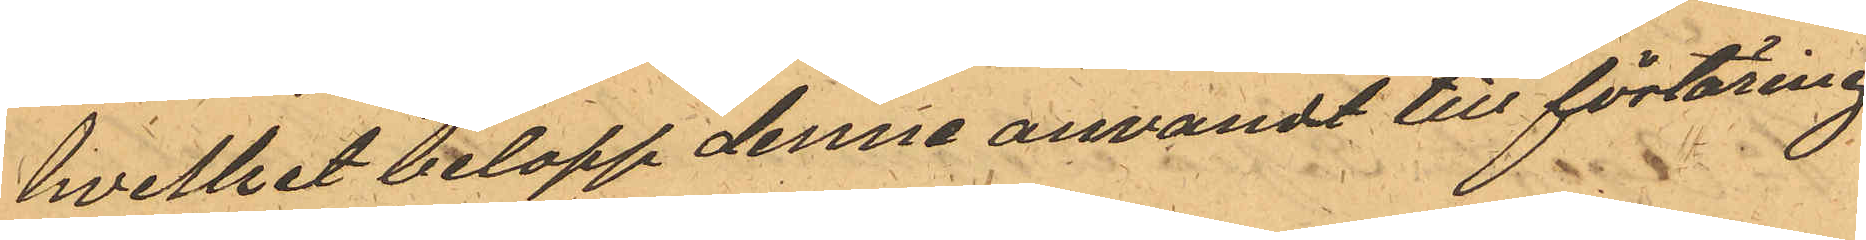hvilket belopp denne användt till förtäring
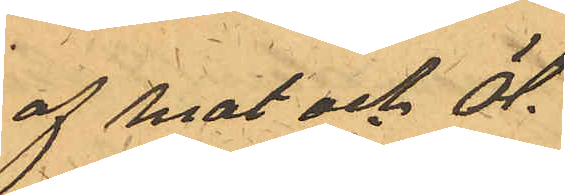af mat och Öl.
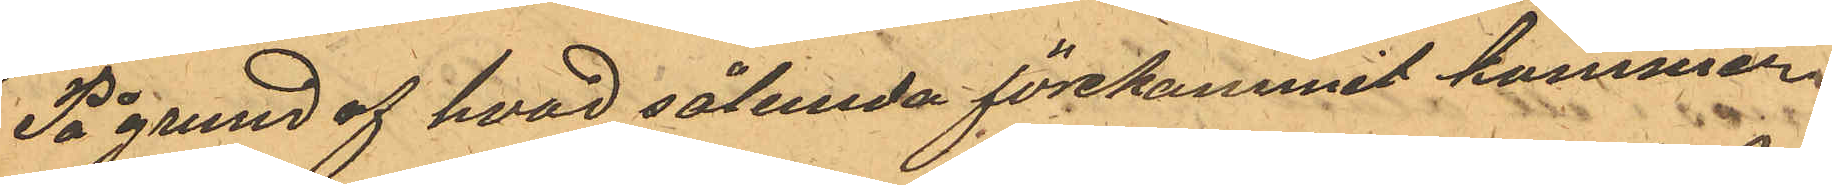På grund af hvad sålunda förekommit kommer
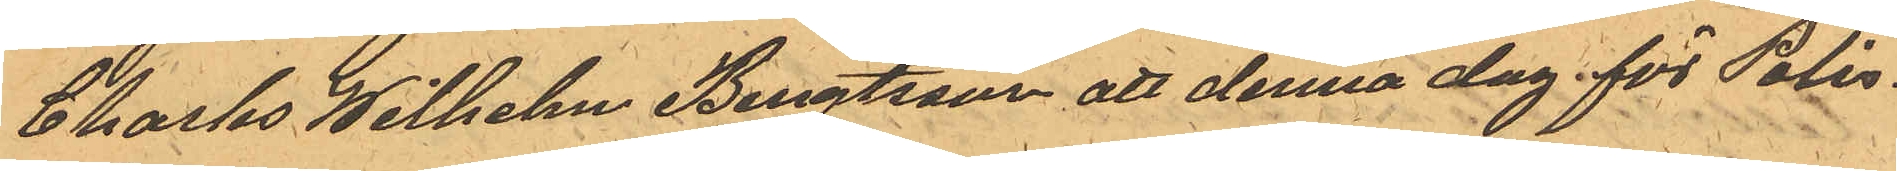Charles Wilhelm Bengtsson att denna dag för Polis¬
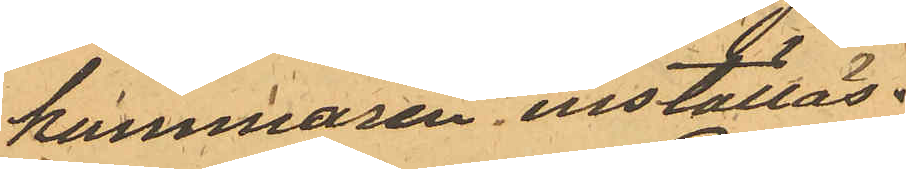kammaren inställas.
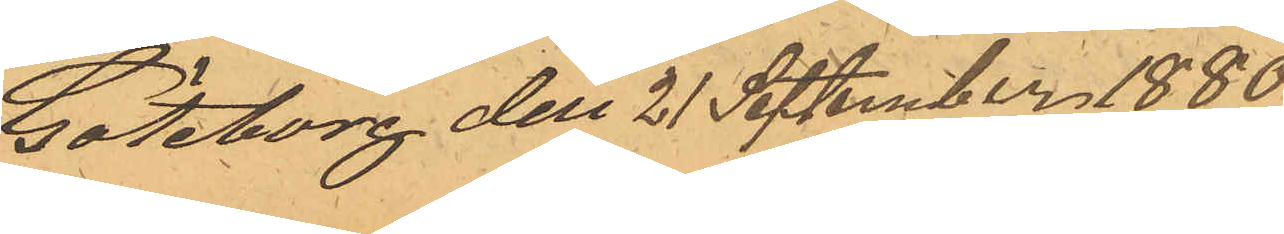Göteborg den 21 September 1880.
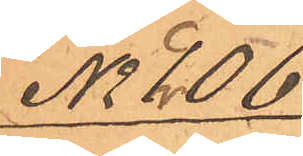No 206
